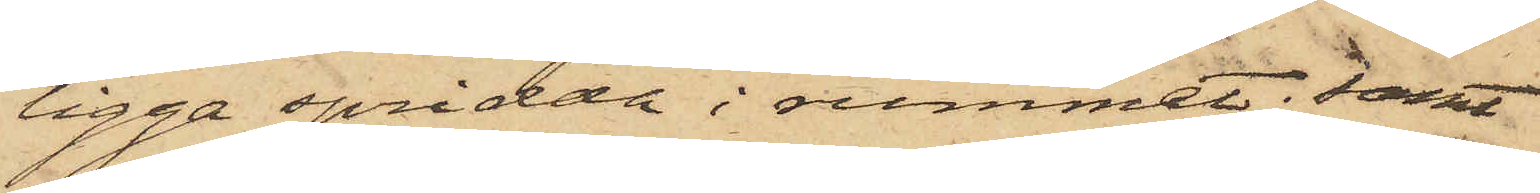ligga spridda i rummet; samt
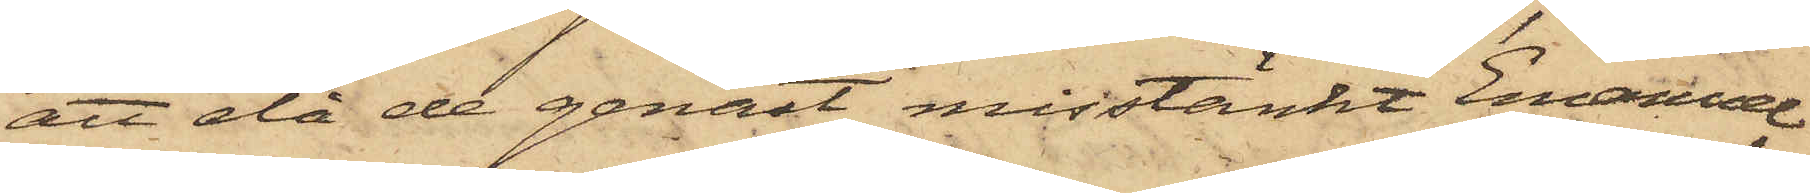att då de genast misstänkt Emanuel
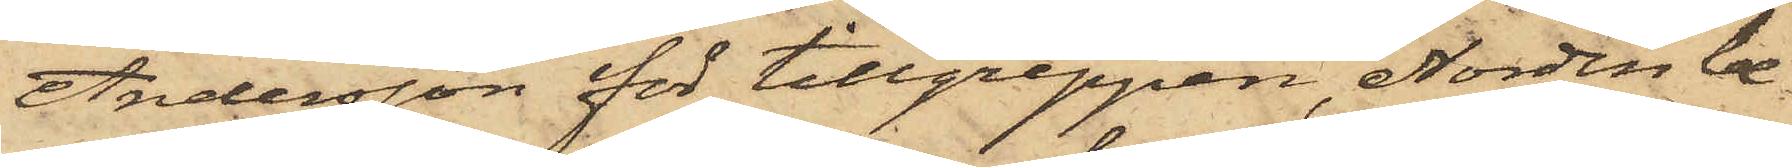Andersson för tillgreppen, Nordin be¬
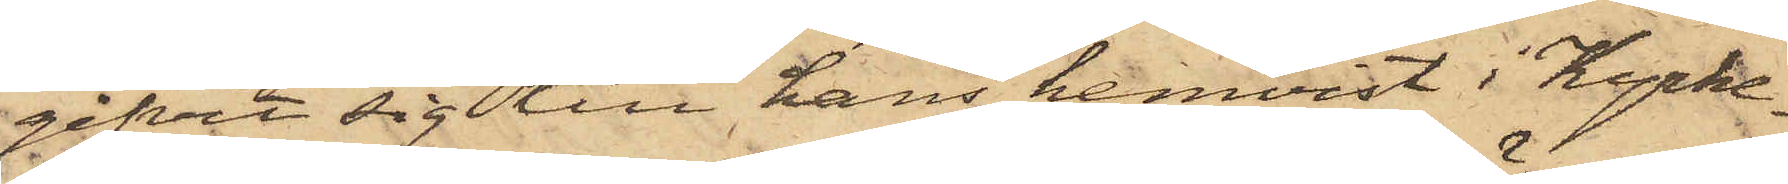gifvit sig till hans hemvist i Kyrke¬
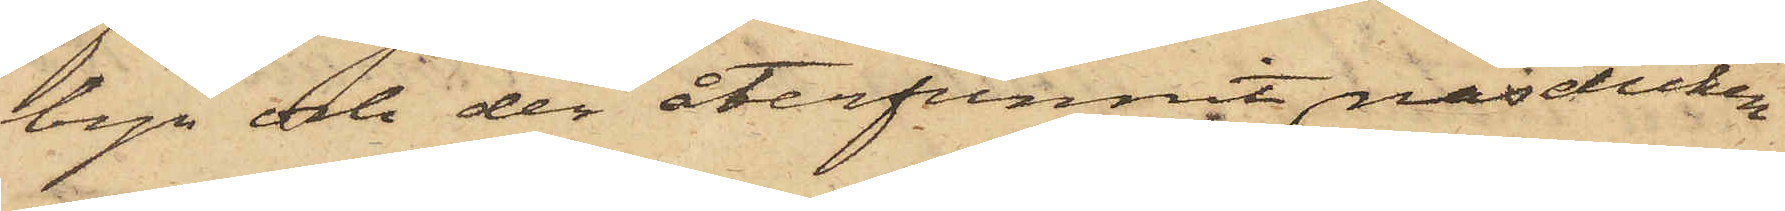byn och der återfunnit näsduken
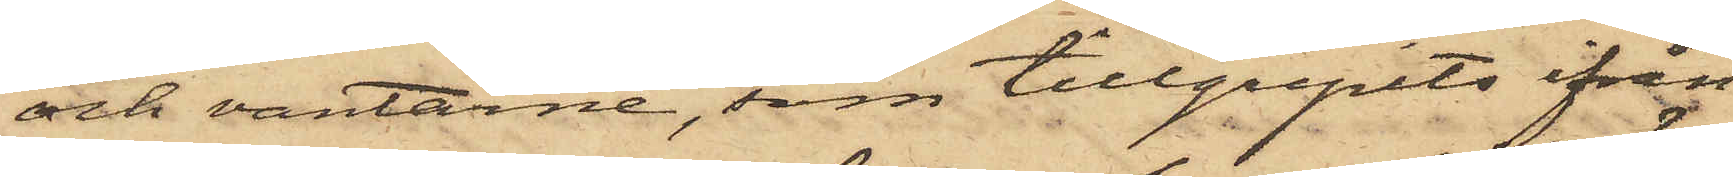och vantarne, som tillgripits ifrån
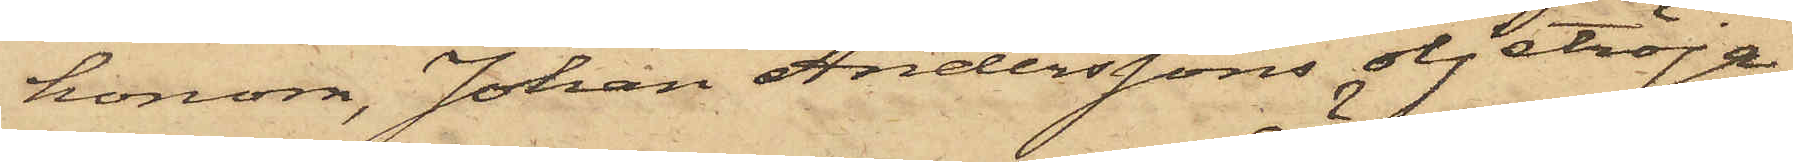honom, Johan Anderssons oljetröja,
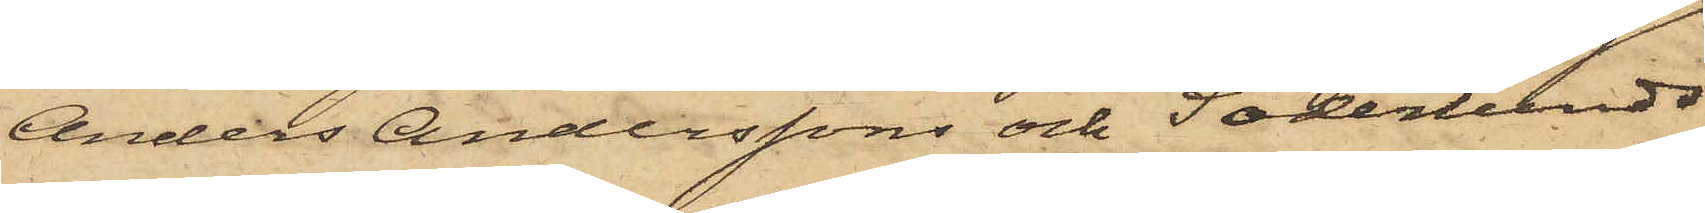Anders Anderssons och Söderlunds
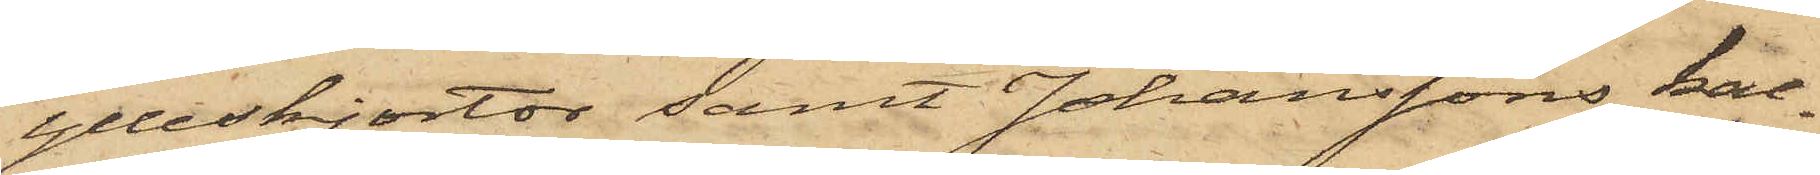ylleskjortor samt Johanssons kal¬
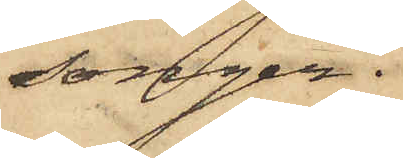songer.
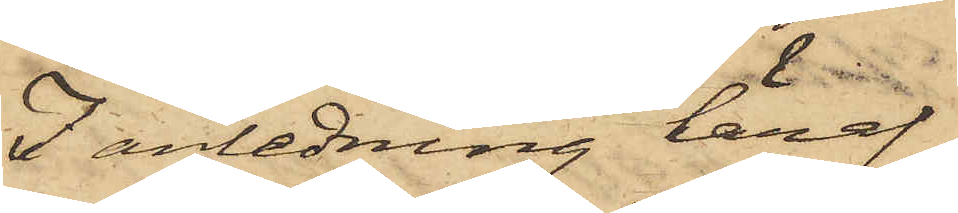I anledning häraf
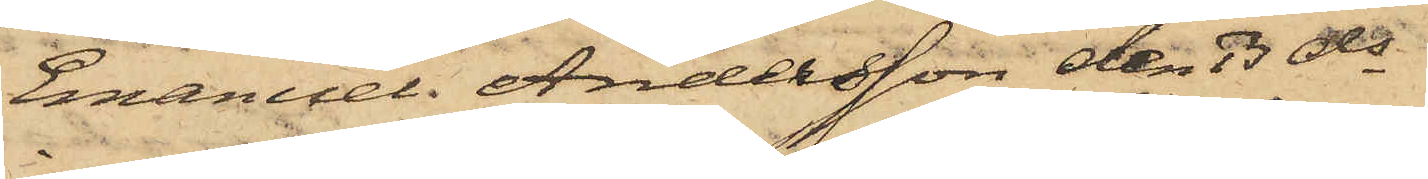Emanuel Andersson den 13 ds
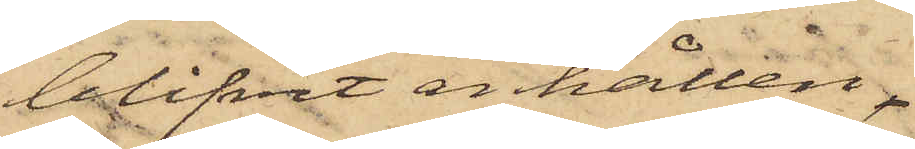blifvit anhållen,
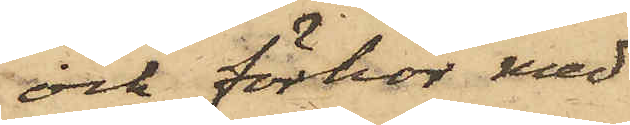och förhör med
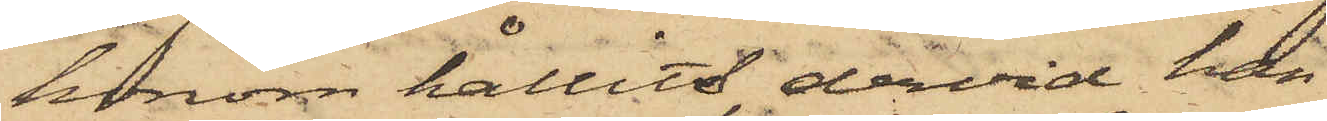honom hållits, dervid han
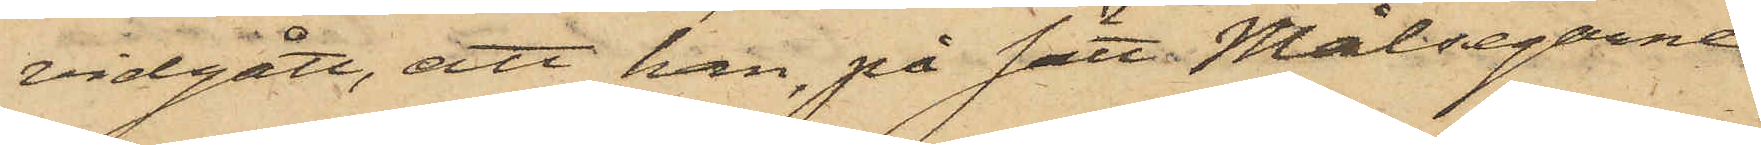vidgått, att han, på sätt Målsegarne
